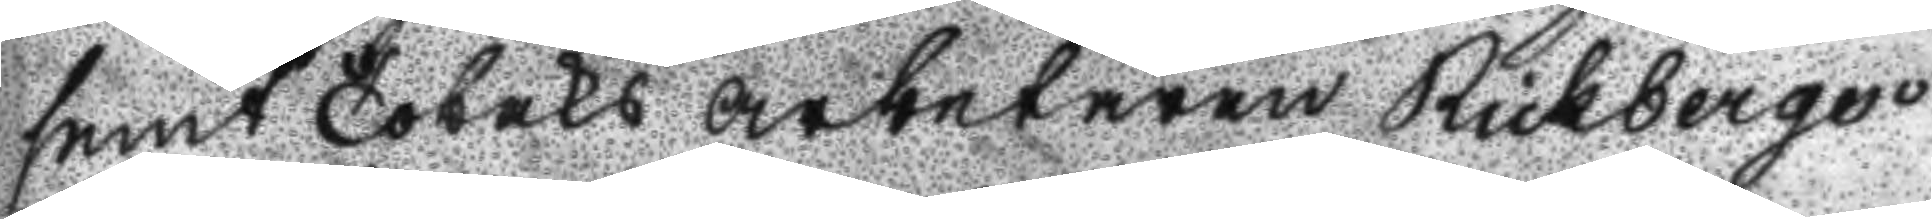samt Tobaks arbetaren Rickbergs
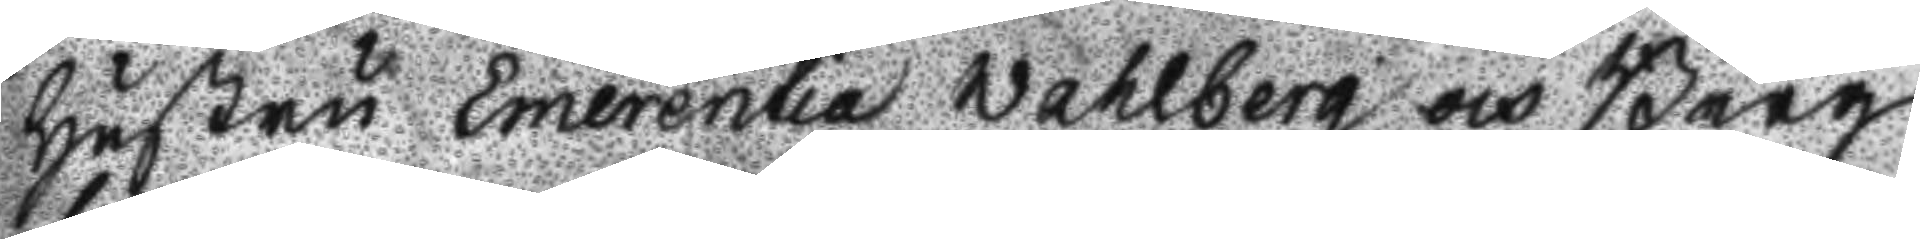hustru Emerentia Wahlberg och Berg
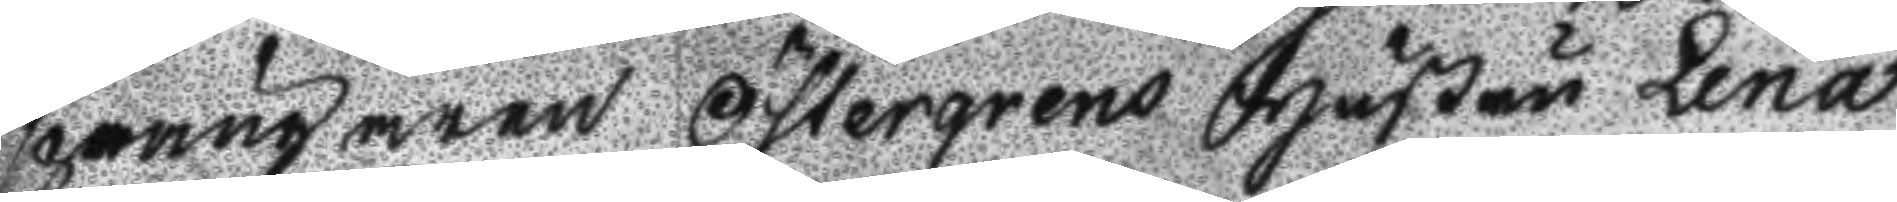sprängaren Östergrens Hustru Lena
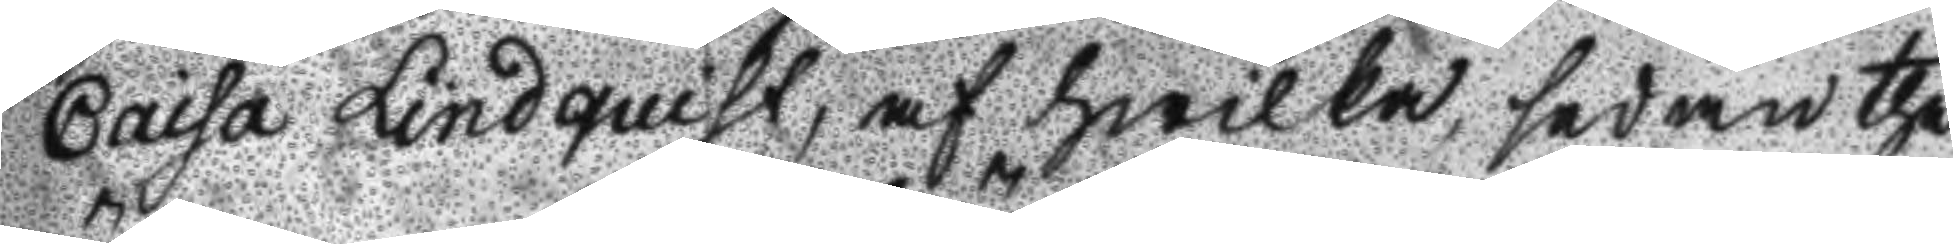Caisa Lindquist, af hwilka, sedan the
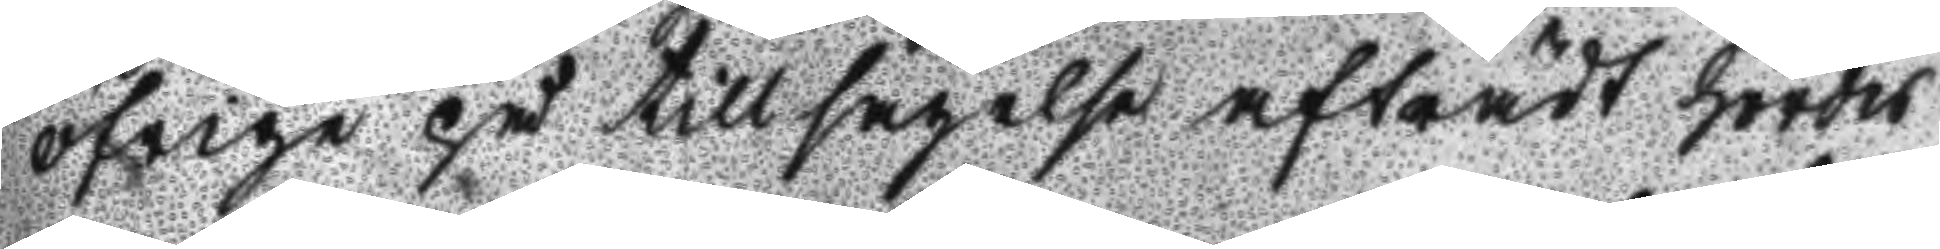öfrige på tillsägelse afträdt hördes
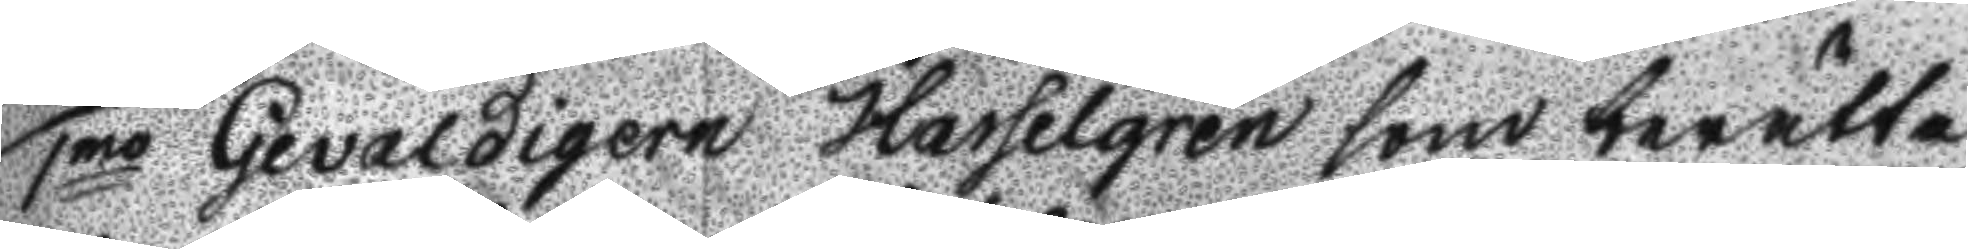1mo Gevaldigern Hasselgren som berätta
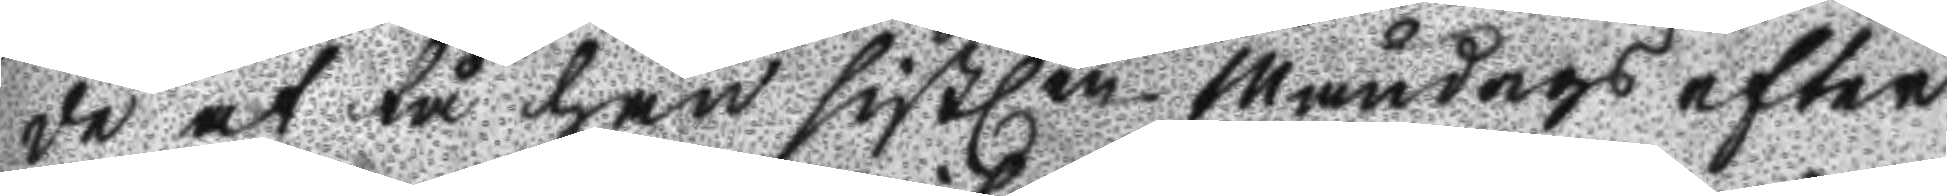de at tå han sistlen Måndags efter
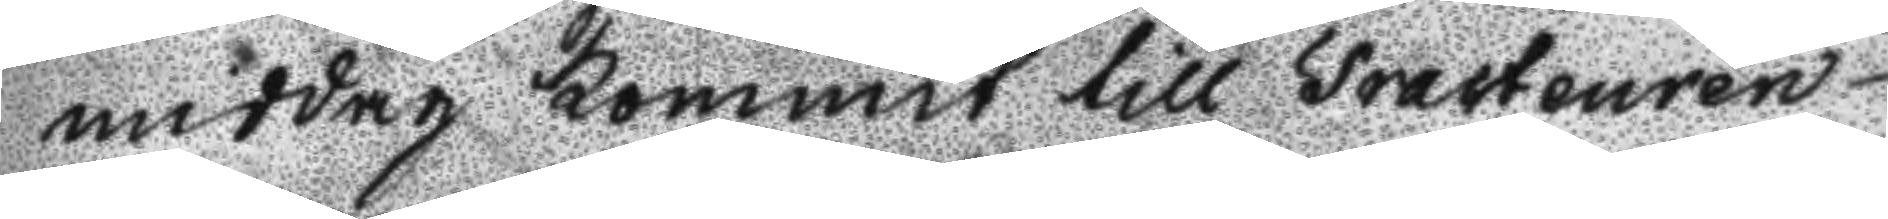middag kommit till Tracteuren
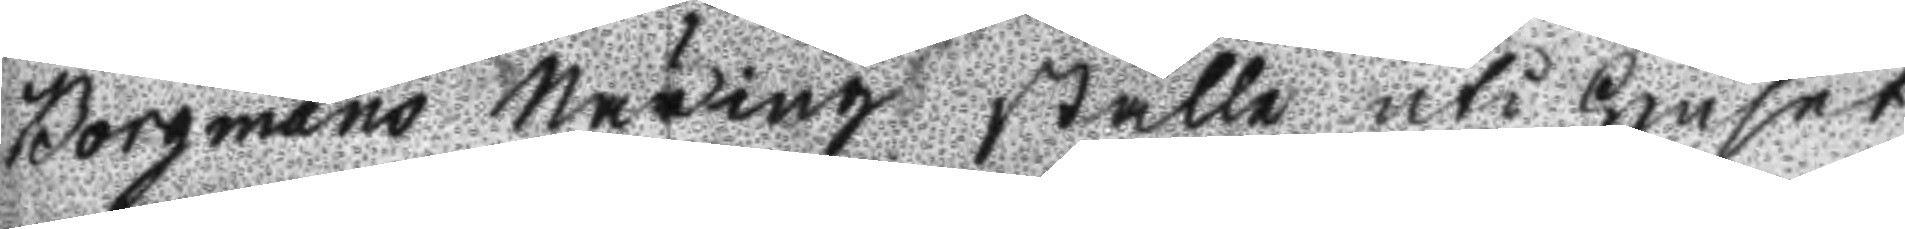Borgmans Närings ställe uti huset
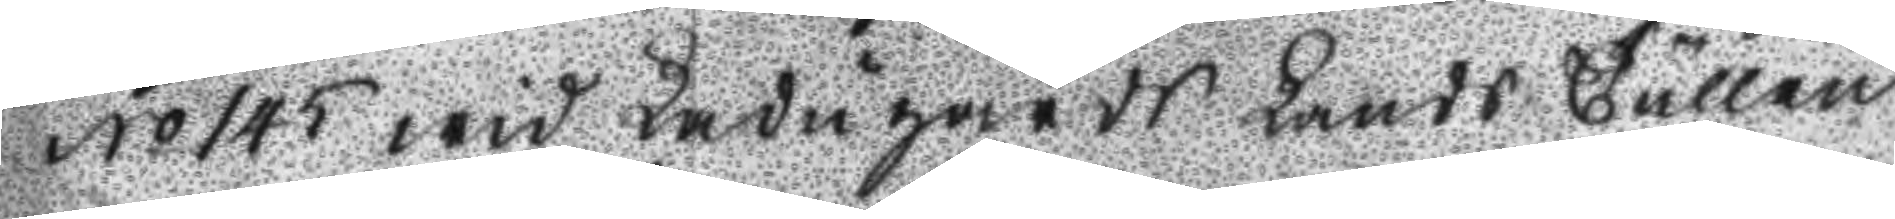No 145 wid Ladugårds Lands Tullen
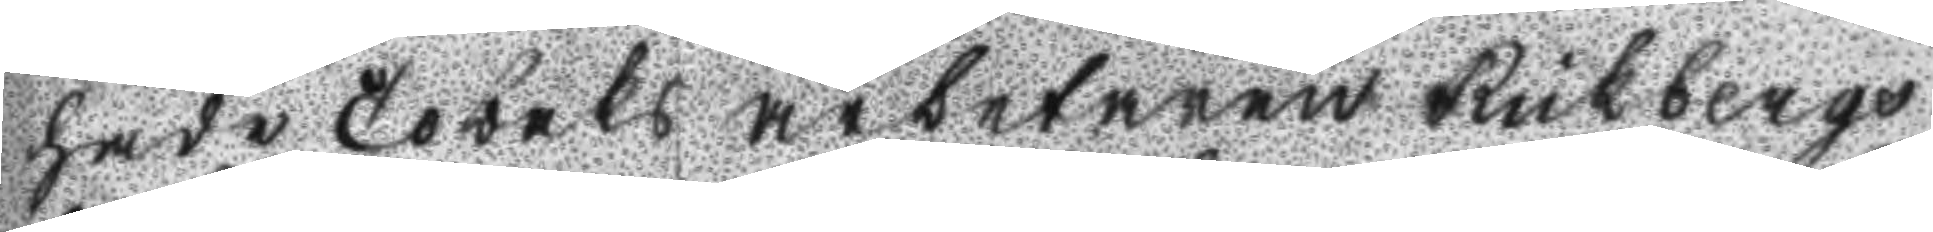hade Tobaks arbetaren Rickbergs
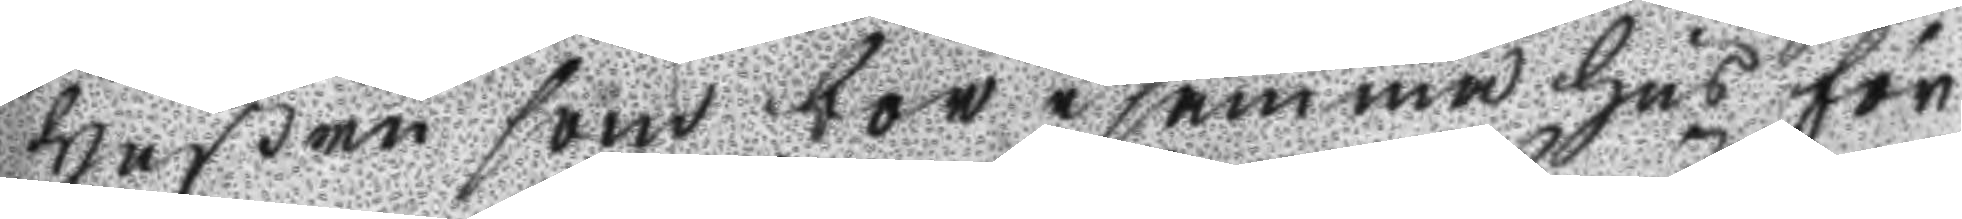Hustru som bor i samma hus för
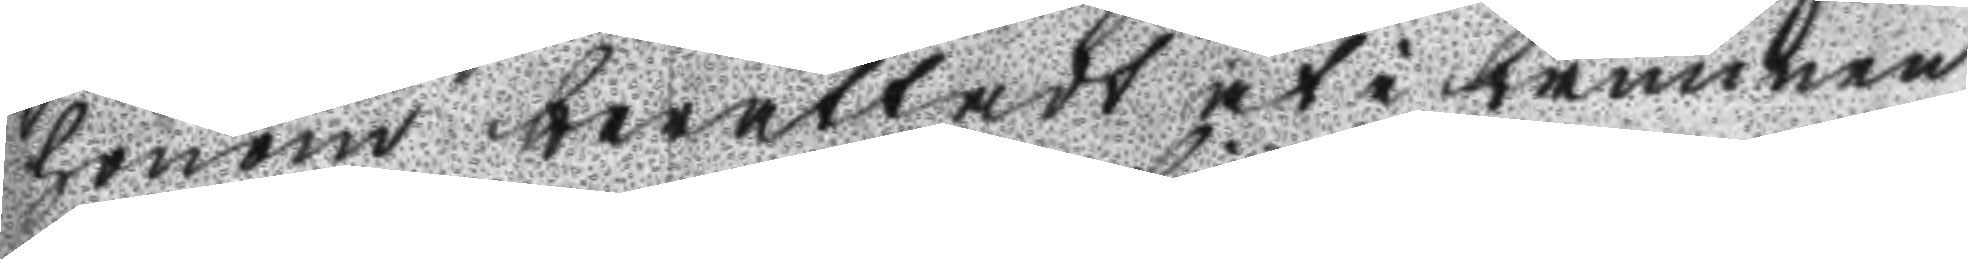honom berättadt at i brunnen
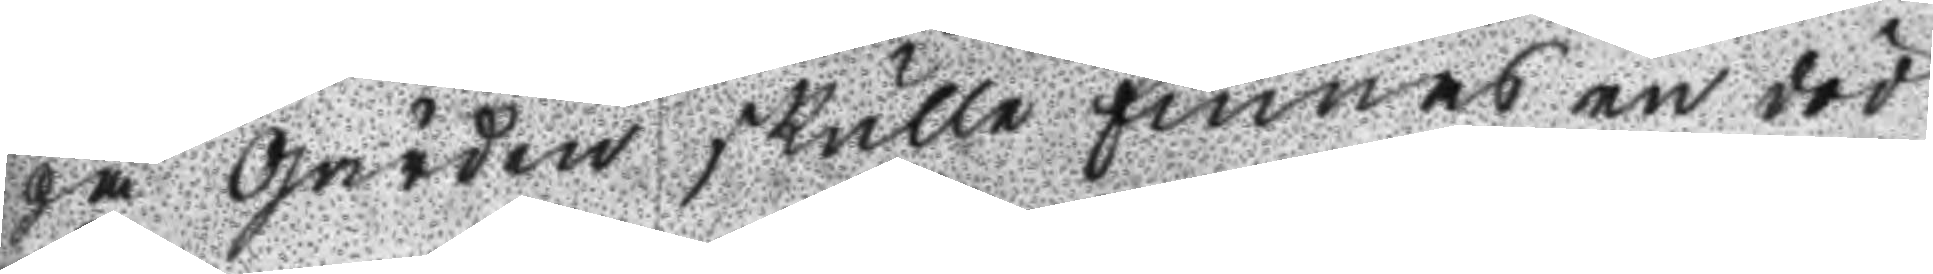på Gården skulle finnas en död
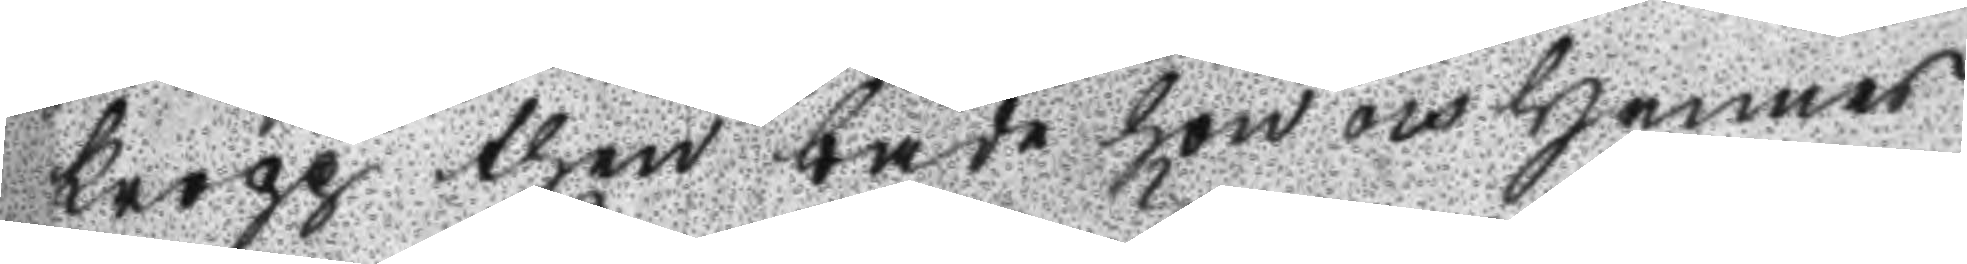kropp then både hon och hennes
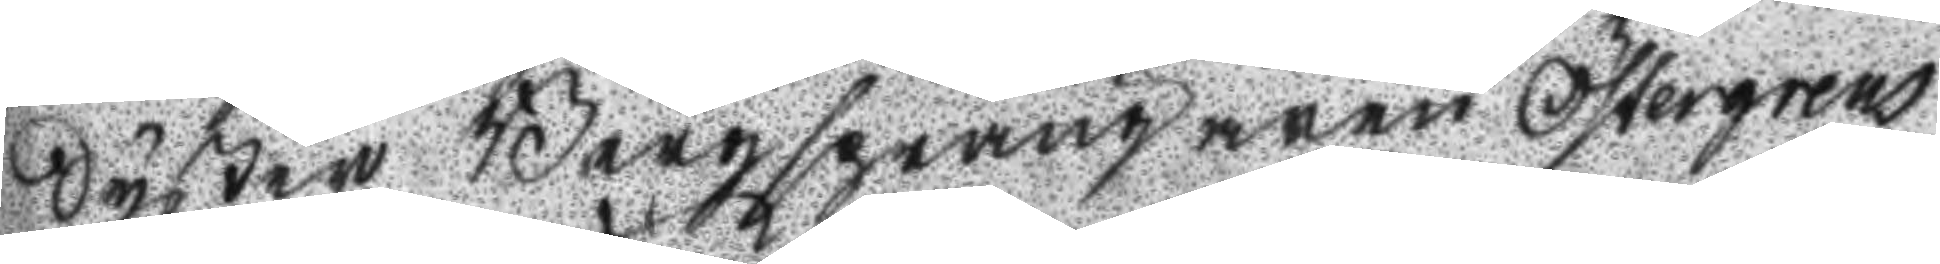Syster Bergsprängaren Östergrens
